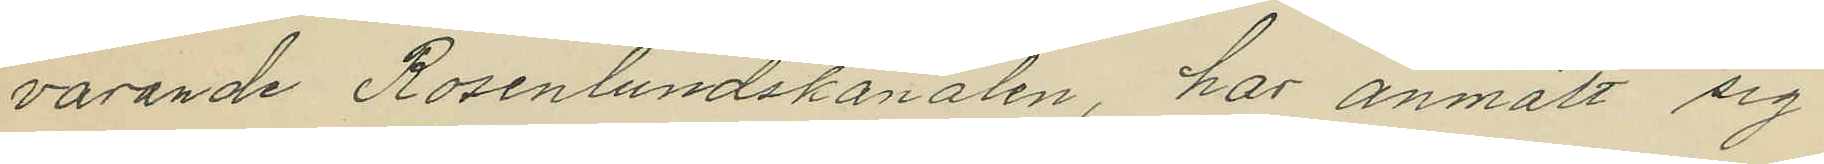varande Rosenlundskanalen, har anmält sig
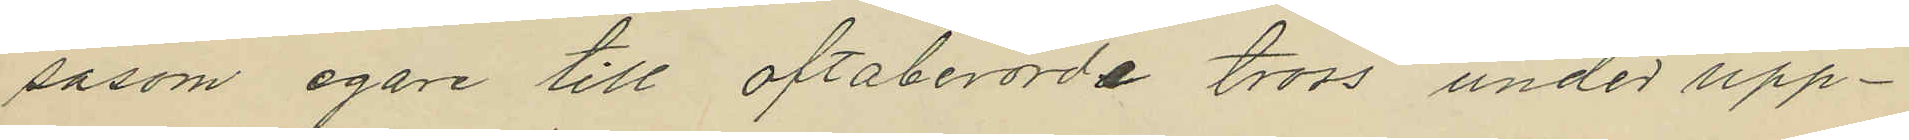såsom egare till oftaberörda tross under upp¬
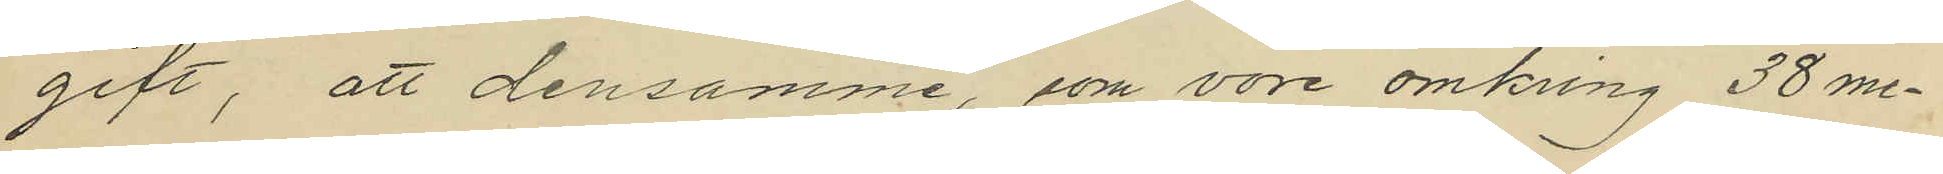gift, att densamme, som vore omkring 38 me¬
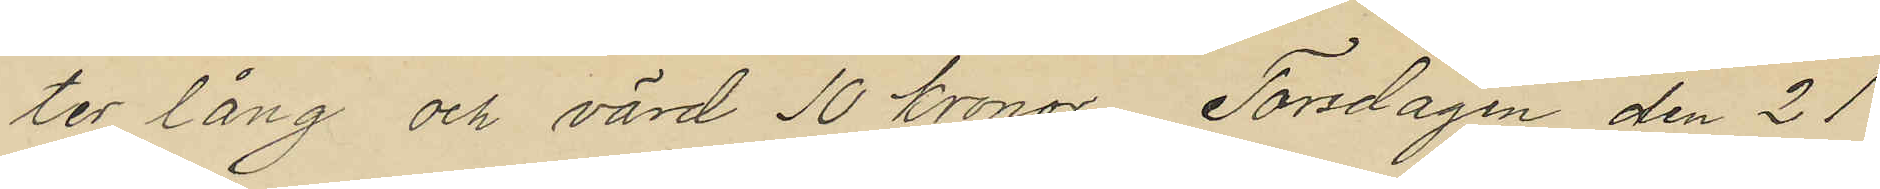ter lång och värd 10 kronor, Torsdagen den 21
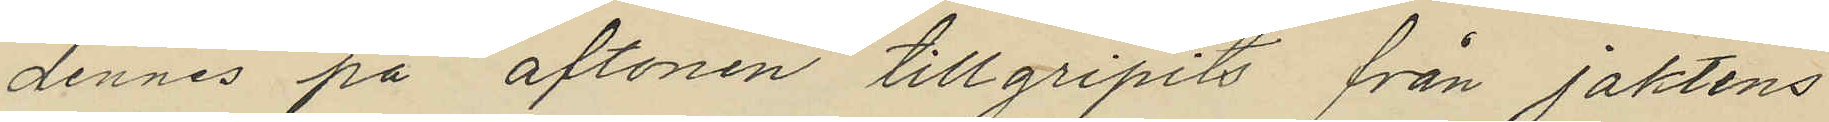dennes på aftonen tillgripits från Jaktens
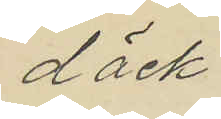däck
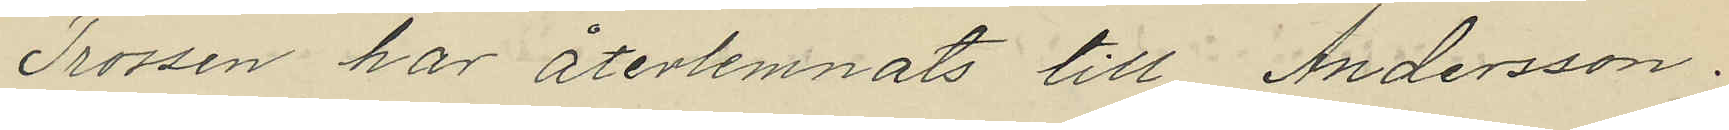Trossen har återlemnats till Andersson.
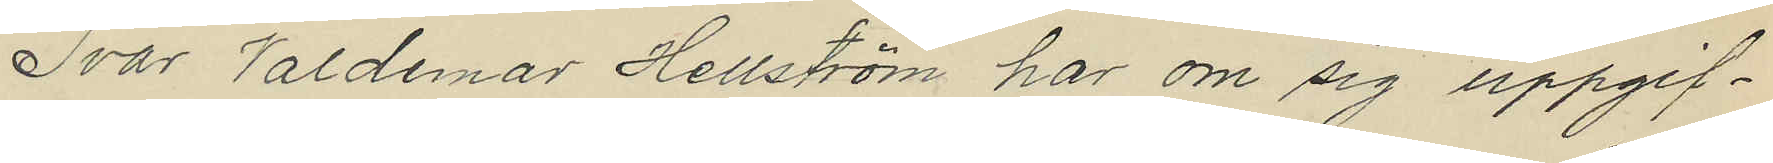Ivar Valdemar Hellström har om sig uppgif¬
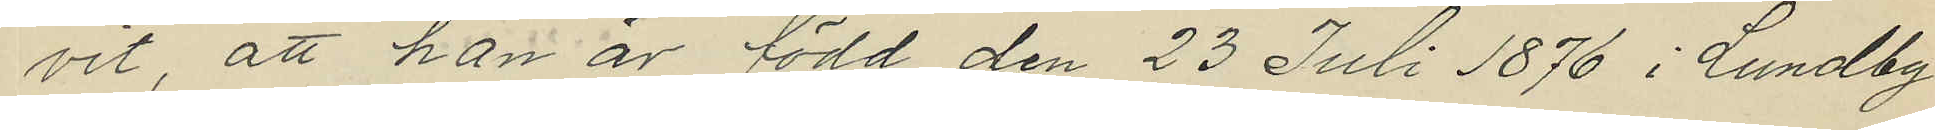vit, att han är född den 23 Juli 1876 i Lundby
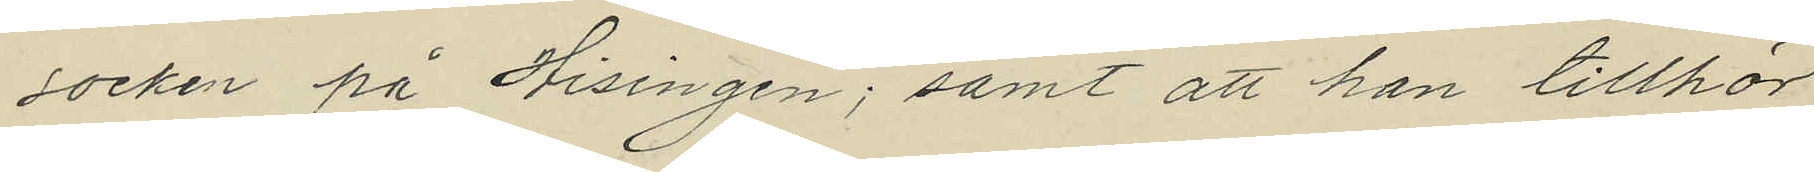socken på Hisingen; samt att han tillhör
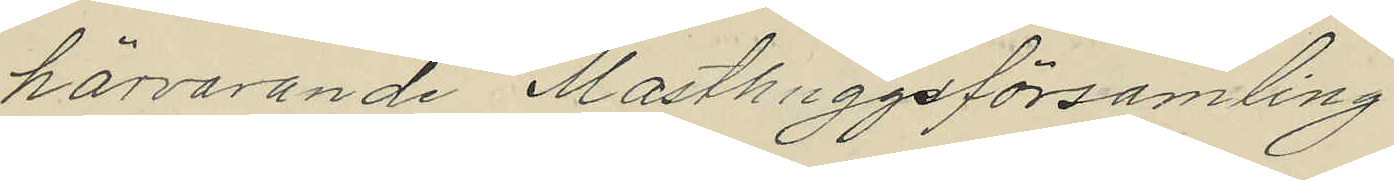härvarande Masthuggsförsamling.
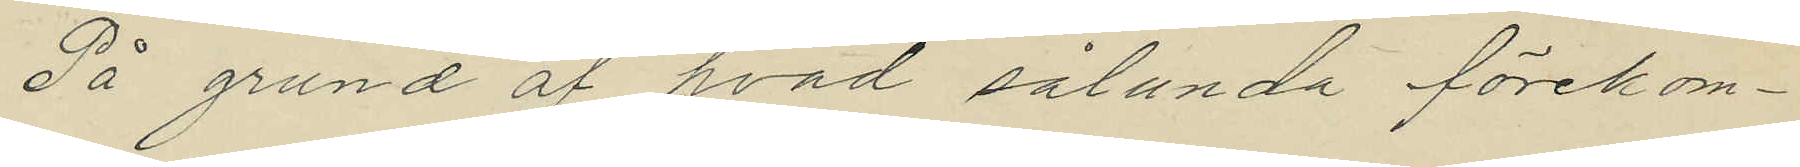På grund af hvad sålunda förekom¬
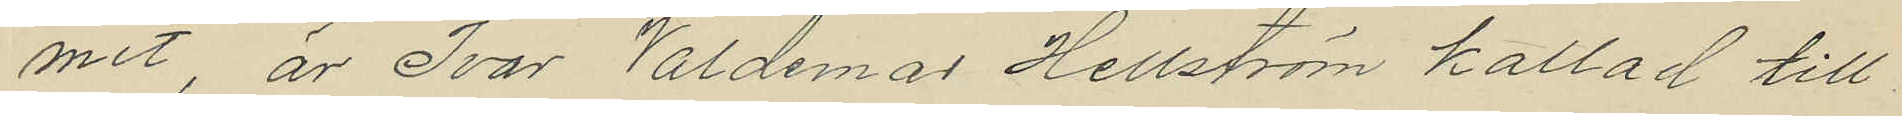mit är Ivar Valdemar Hellström kallad till
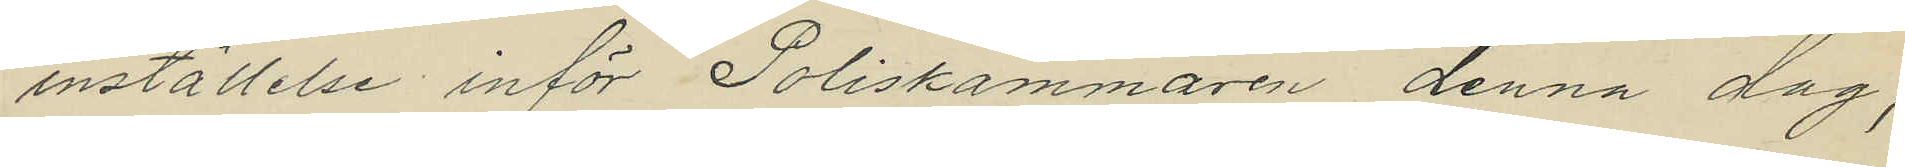inställelse inför Poliskammaren denna dag,
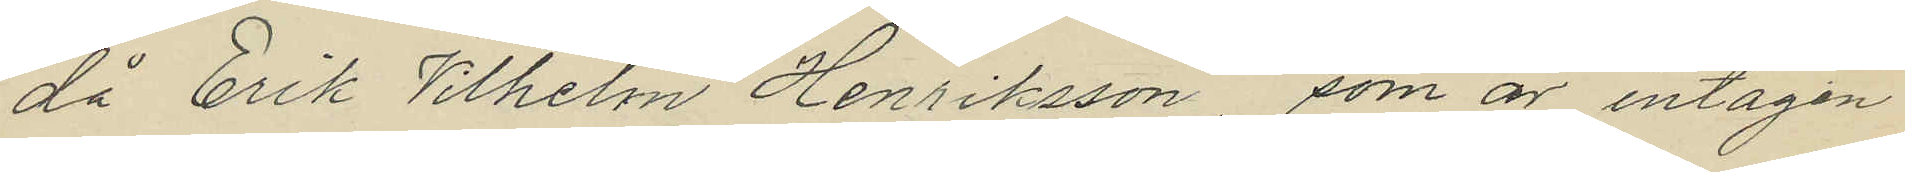då Erik Vilhelm Henriksson, som är intagen
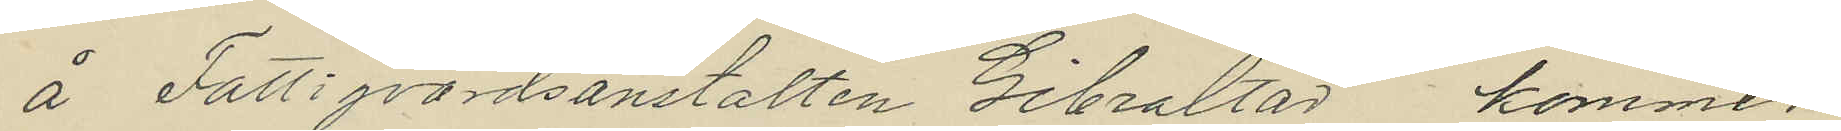å Fattigvårdsanstalten Gibraltar kommer
